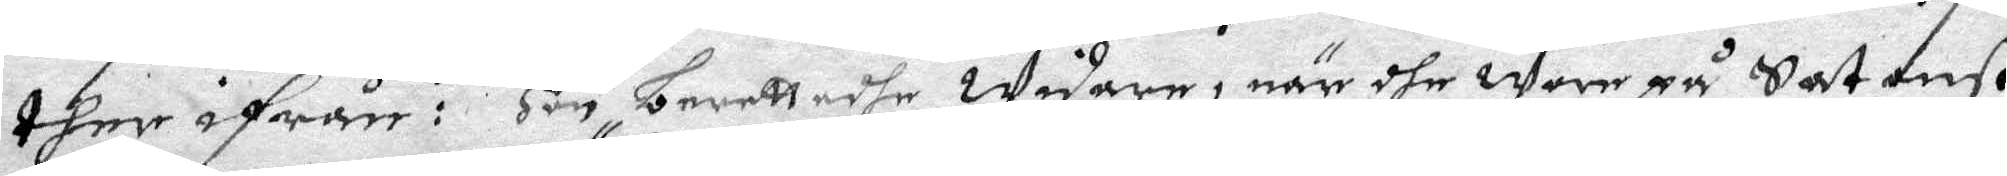ther ifrån: Hon berettadhe widare, när dhe war på Satanß
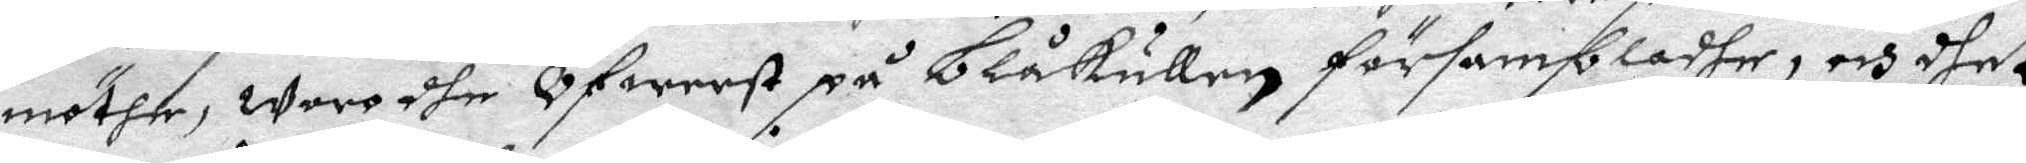möthe, war dhe Öfwersst på Blåkullen försambladhe, och dhet
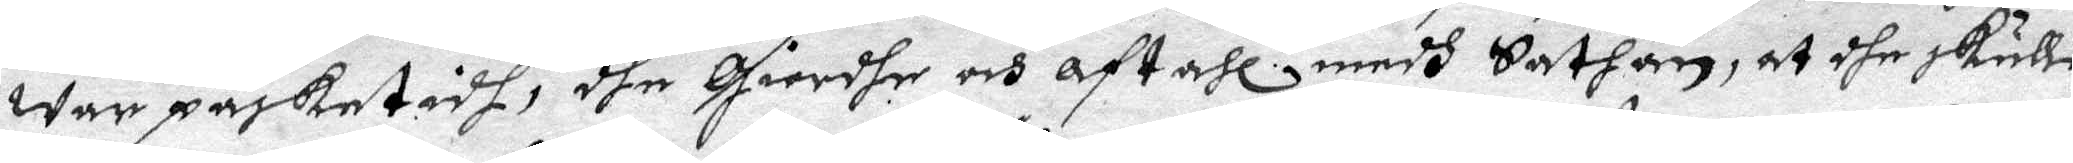war påsketidh, dhe giordhe och aftahl medh Sathan, at dhe skulle
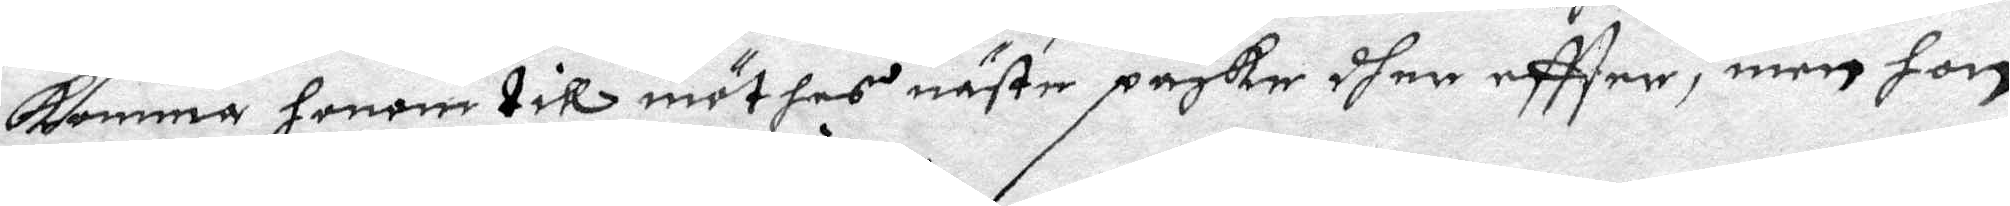komma honom till möthes näste påske dher eftter, men hon
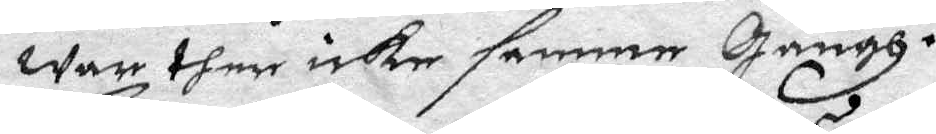war ther icke samme gångh.
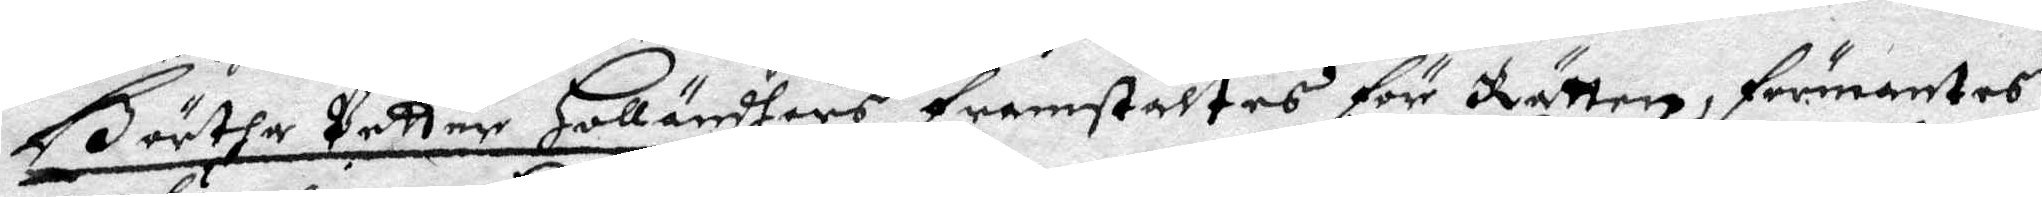Börtha Petter Holländhers framställtes för Rätten, förmantes
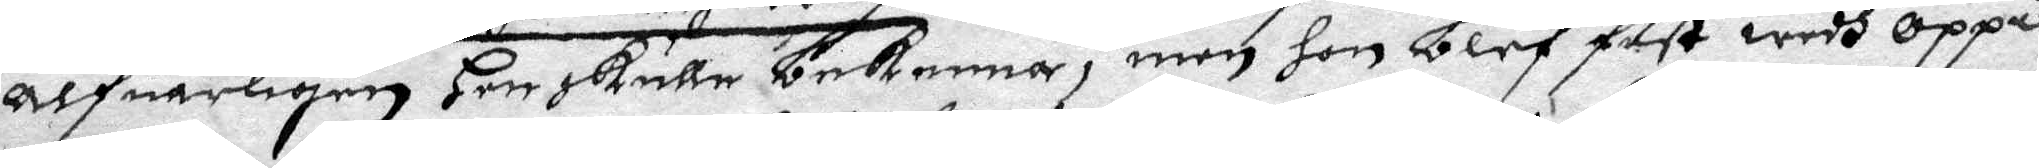Alfuarligen Hon skulle bekenna, men hon blef fast wedh Oppå
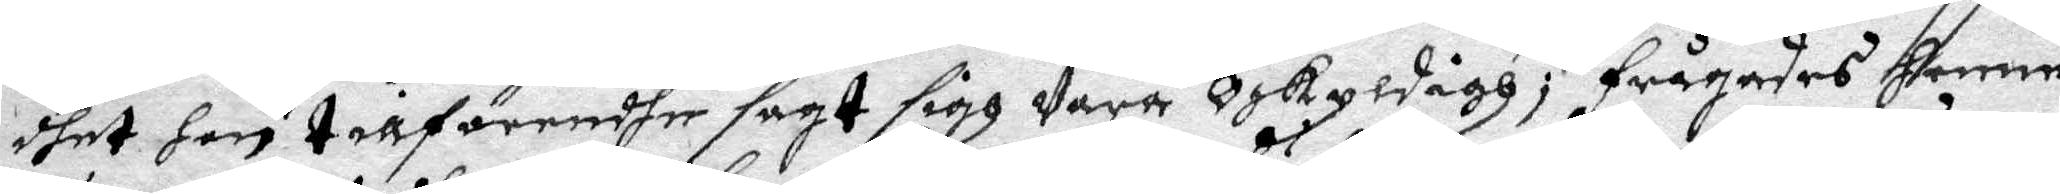dhet hon tillförendhe sagt sigh Vara Oskuldigh; Frågades henne
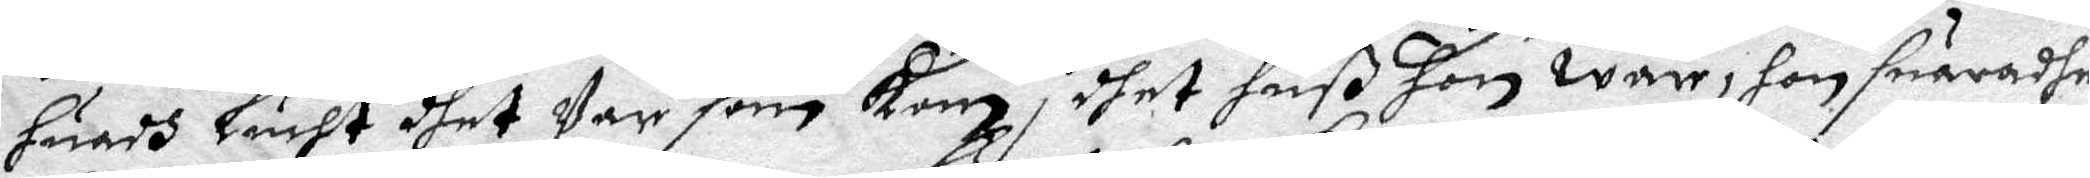huadh Lucht dhet Var som kom i dhet huß hon war, hon suaradhe
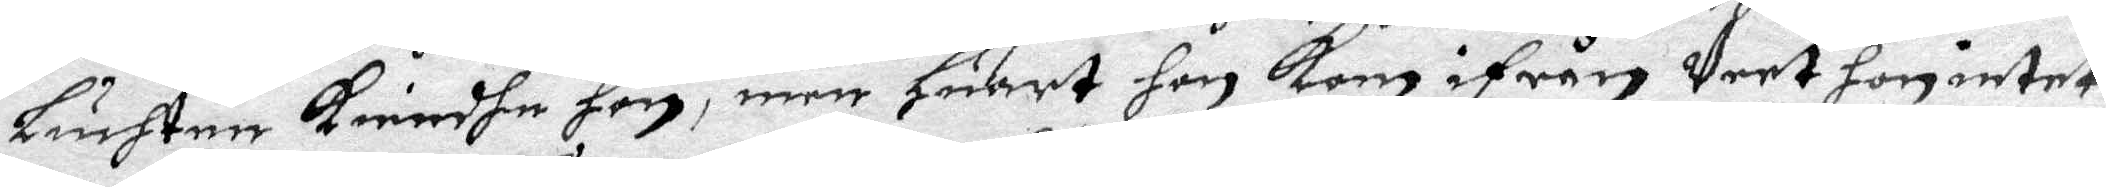Liuchten kiendhe hon, men Huart hon kom ifrån Veet hon intet;
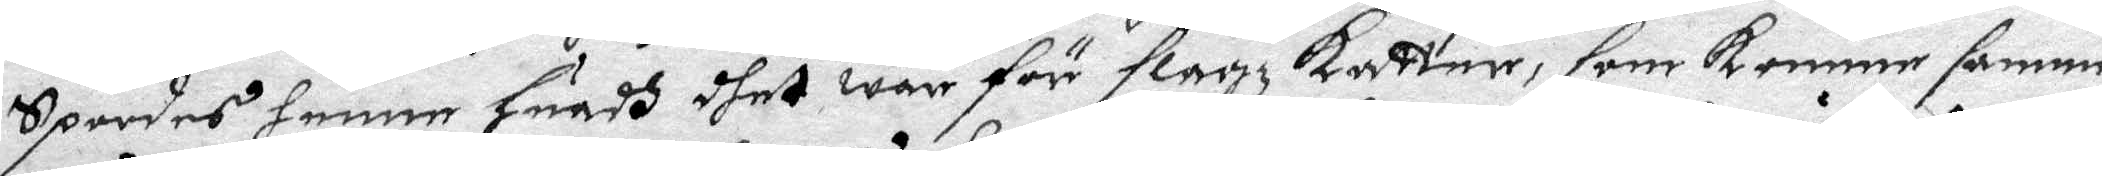Spordes henne Huadh dhet war för slagz katter, som komme samme
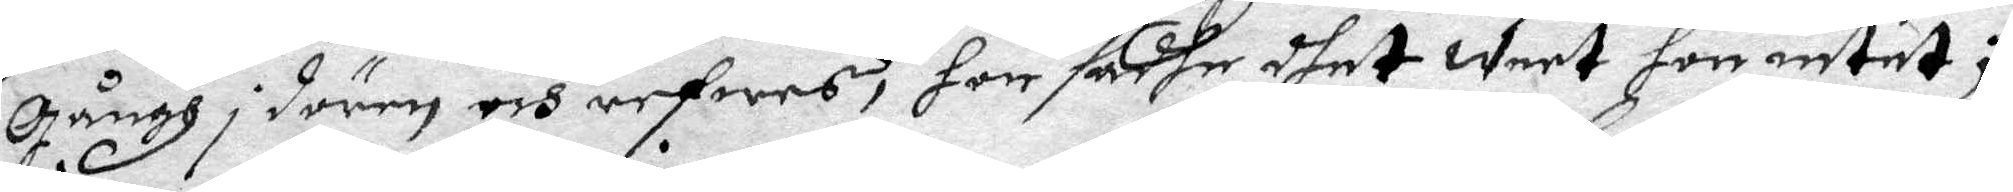gångh i dören och refwes, hon sadhe dhet weet hon intet;
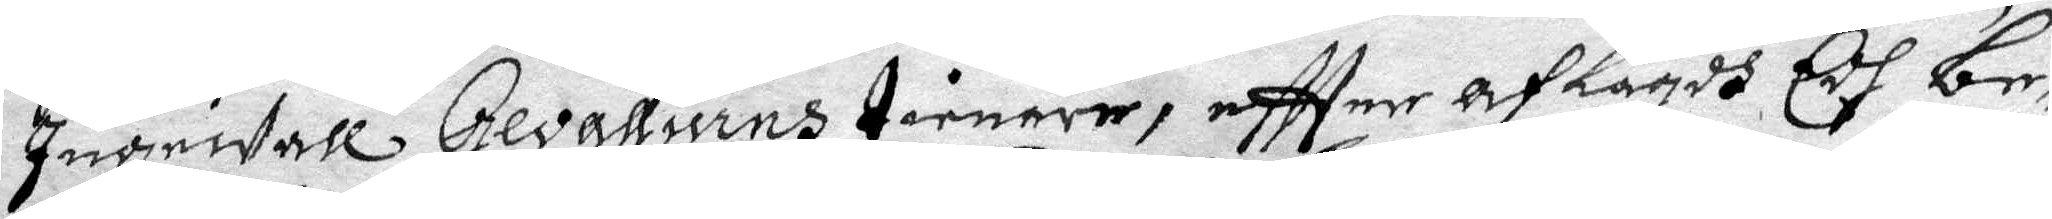Ingewall Gevalliuns tienare, eftter AfLagdh Edh be¬
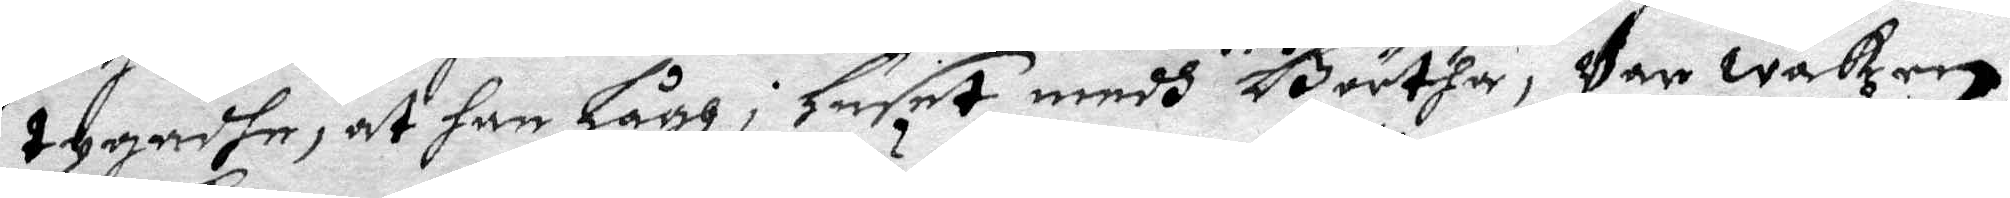tygadhe, at han Lägh i Huset medh Börtha, Var waken,
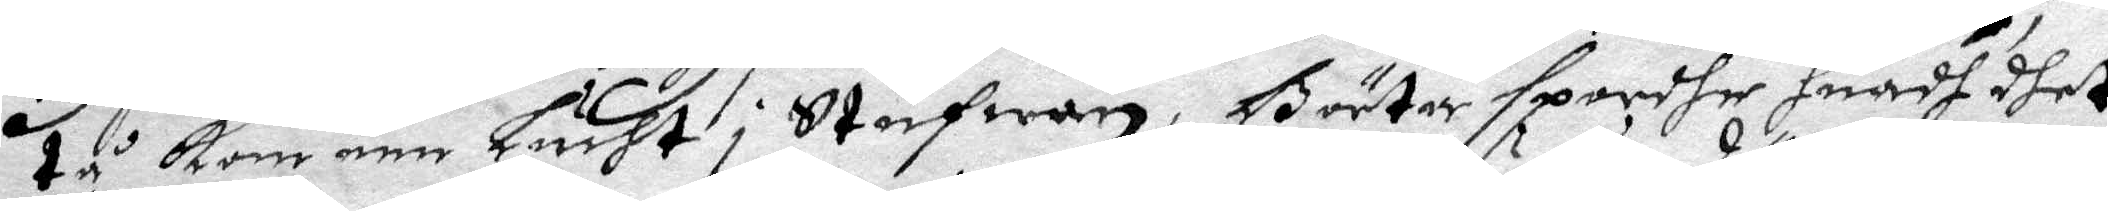tå kom een Lucht i Stufwan, Börtha spordhe huadh dhet
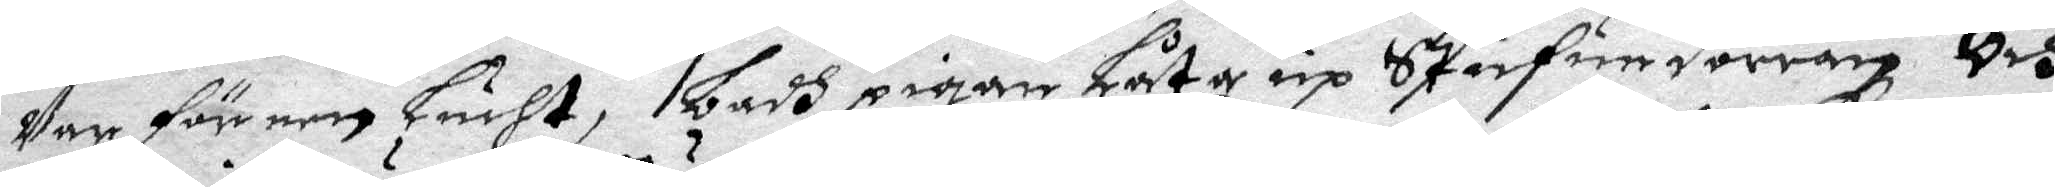var för een Lucht, badh pigan Låta up Stufudörren Och
